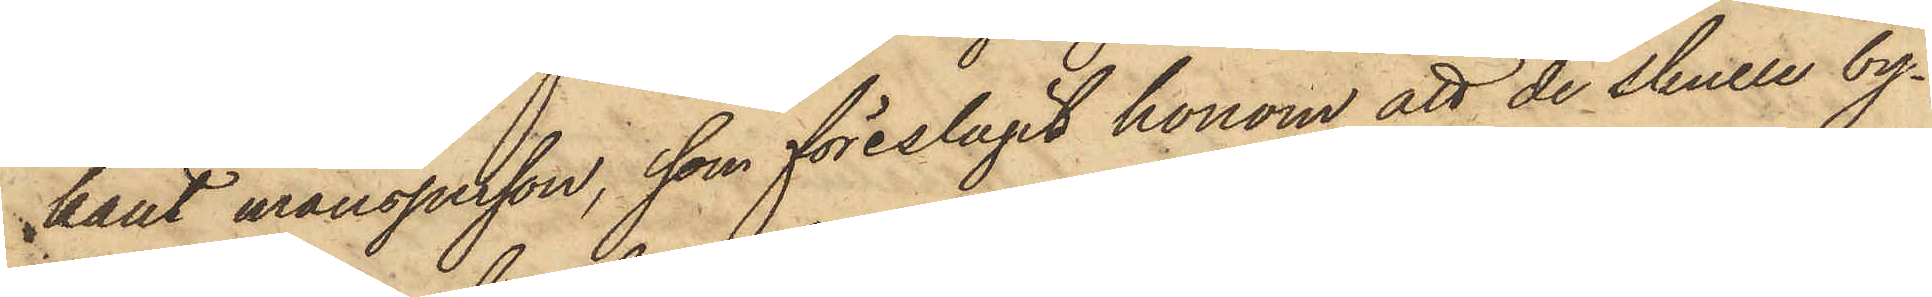kant mansperson, som föreslagit honom att de skulle by¬
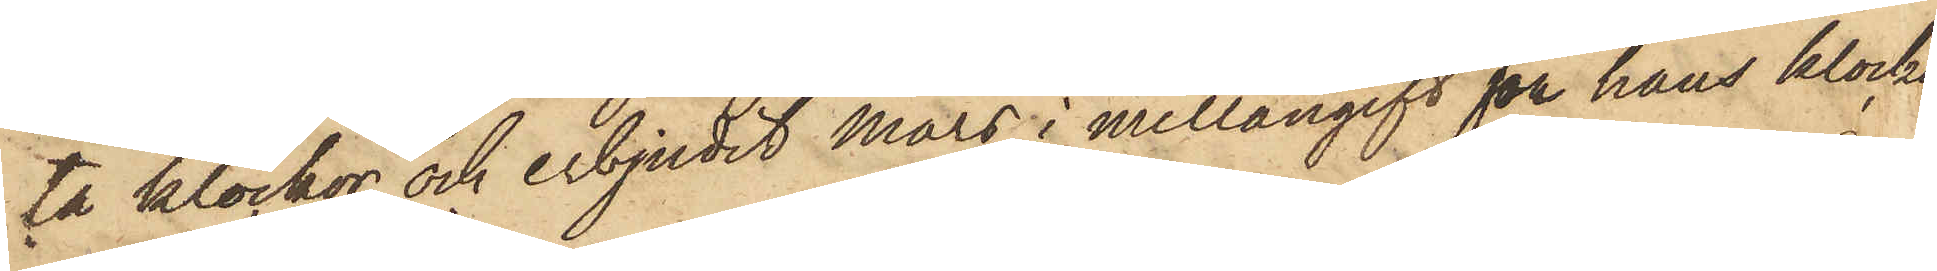ta klockor och erbjudit Mars i mellangift för hans klocka
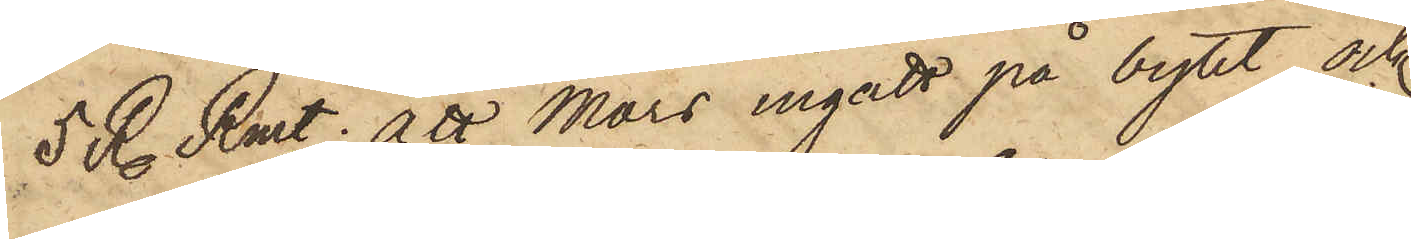5 R Rmt; att Mars ingått på bytet och
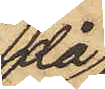då
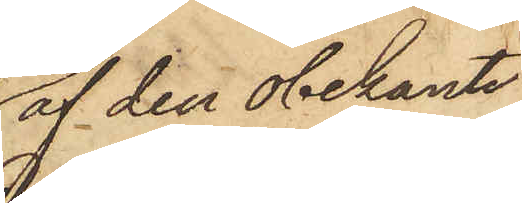af den obekante
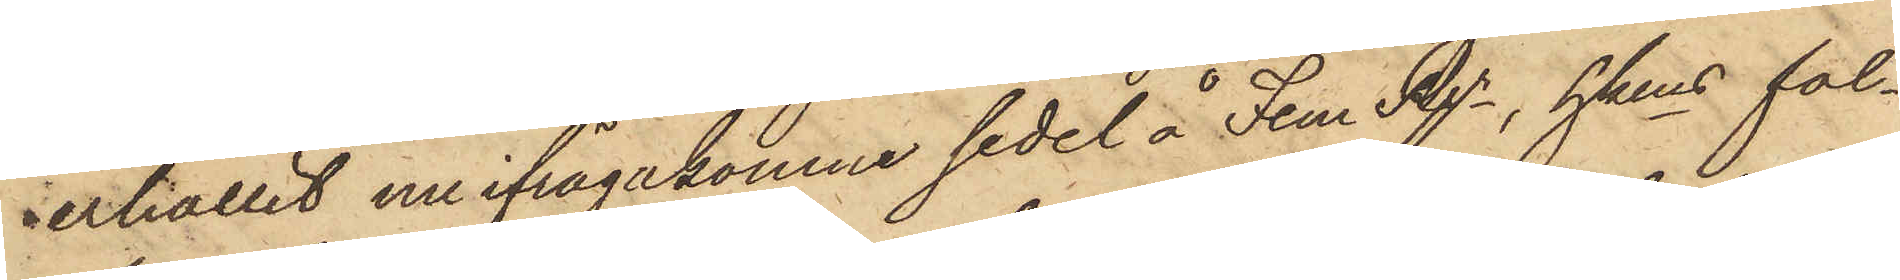erhållit nu ifrågakomne sedel å Fem Rgr, hkens fal¬
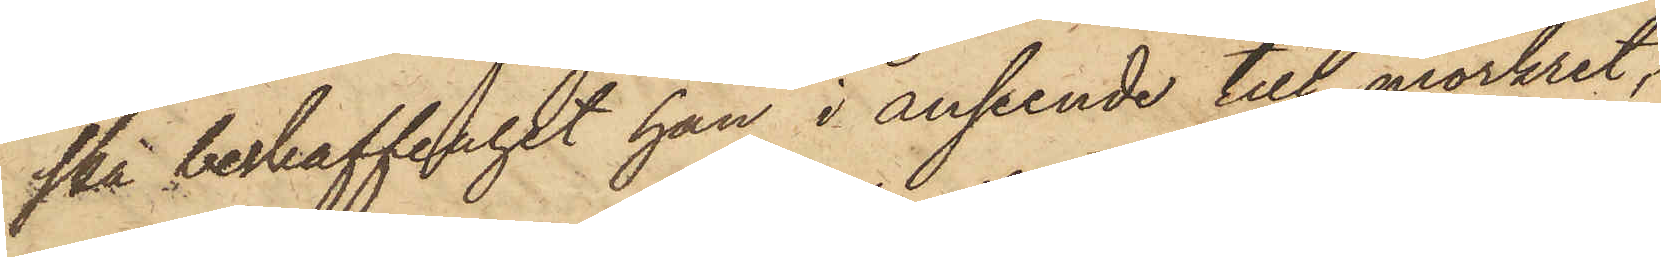ska beskaffenhet han i anseende till mörkret,
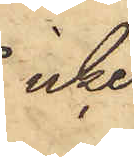icke
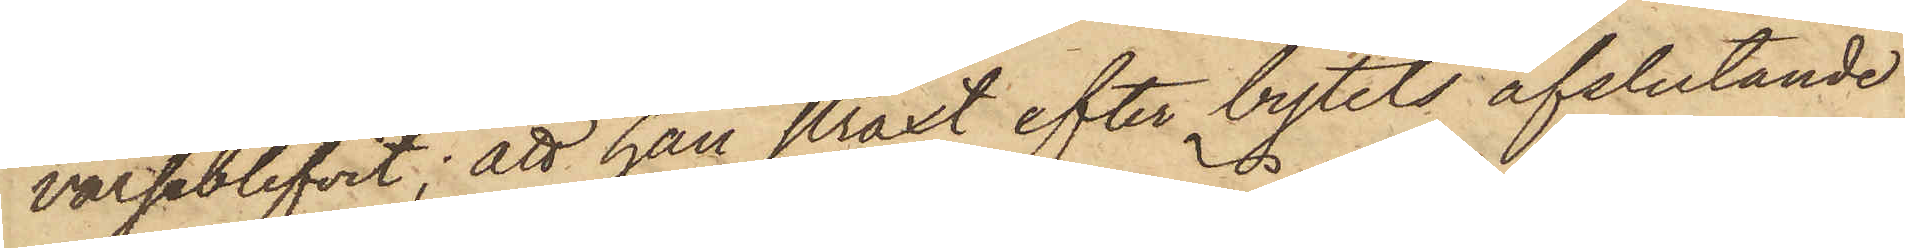varseblifvit; att han straxt efter bytets afslutande
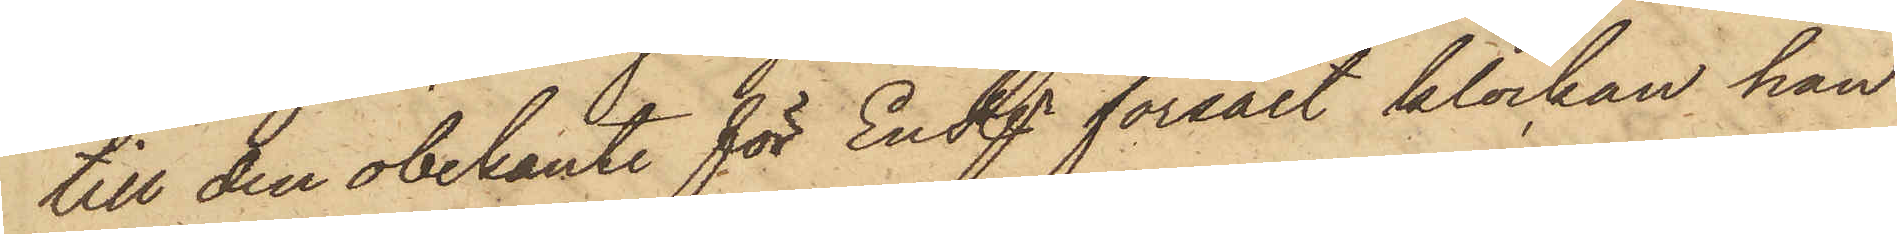till den obekante för En Rgr försålt klockan han
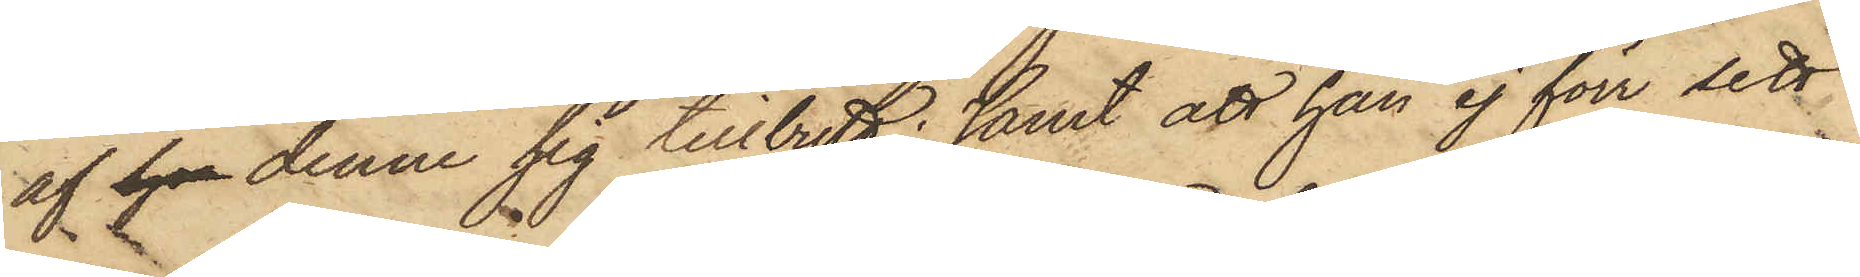af ho denne sig tillbytt; samt att han ej förr sett
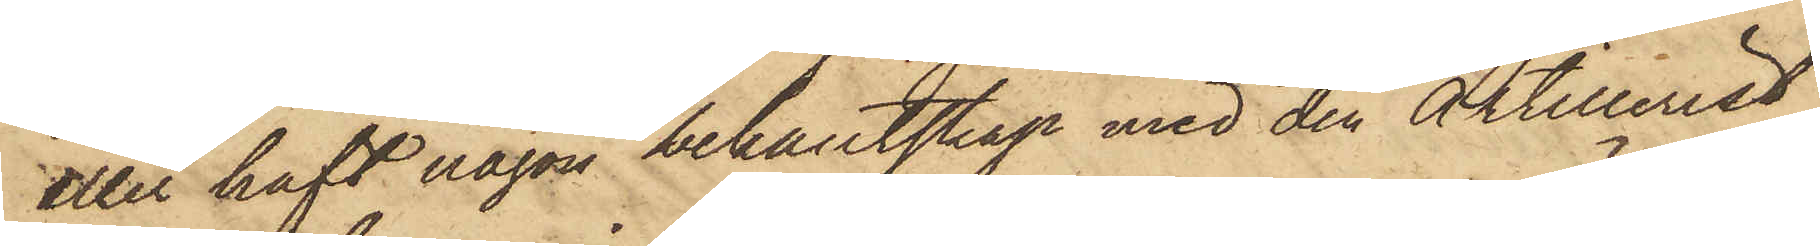eller haft någon bekantskap med den Artillerist
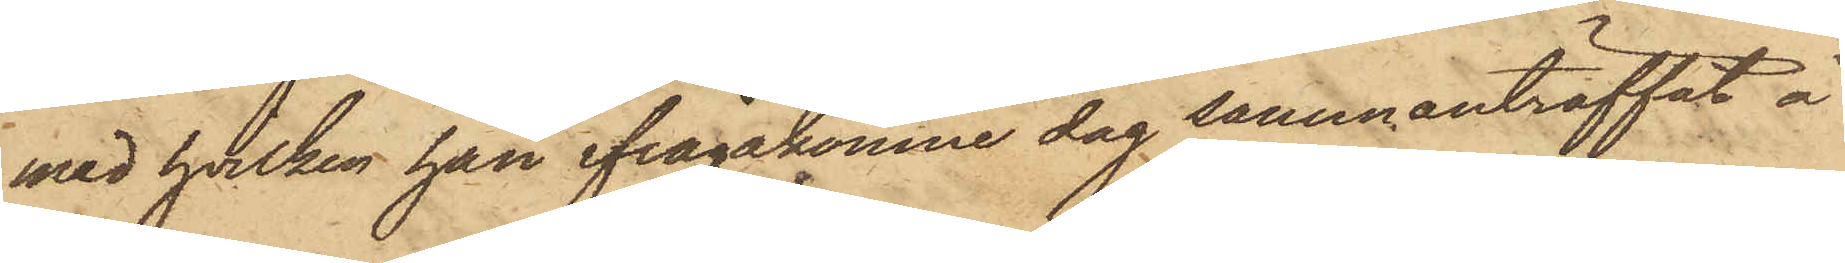med hvilken han ifrågakomne dag sammanträffat å
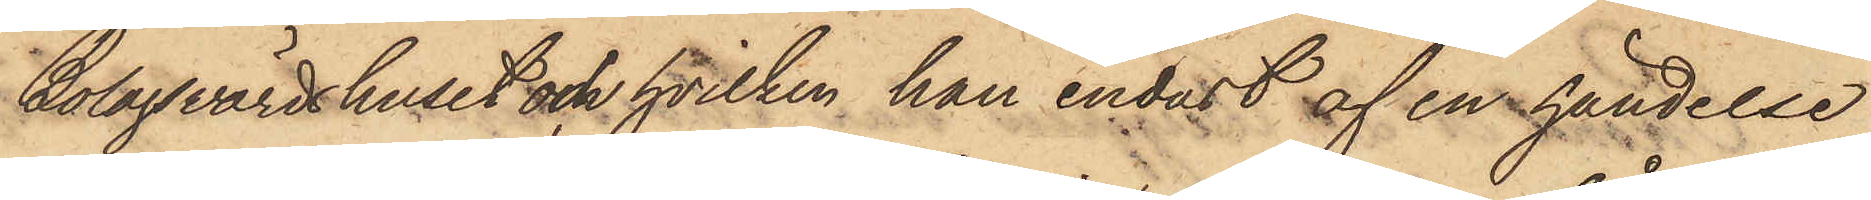Bolagsvärdshuset och hvilken han endast af en händelse
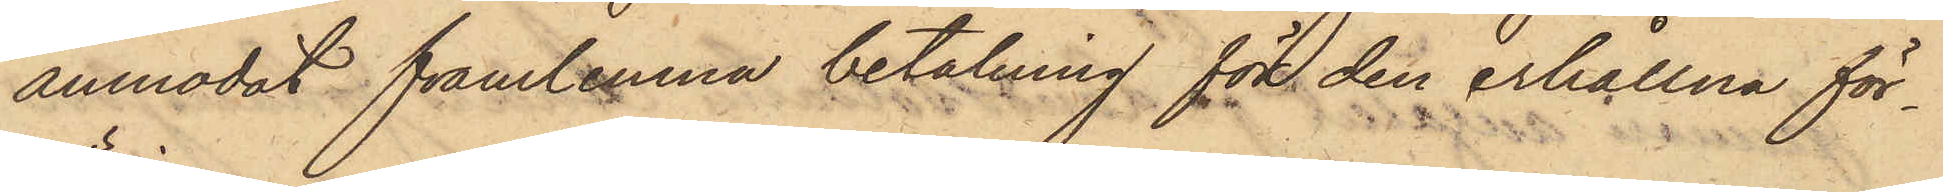anmodat framlemna betalning för den erhållna för¬
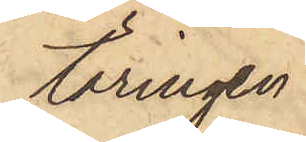täringen.
